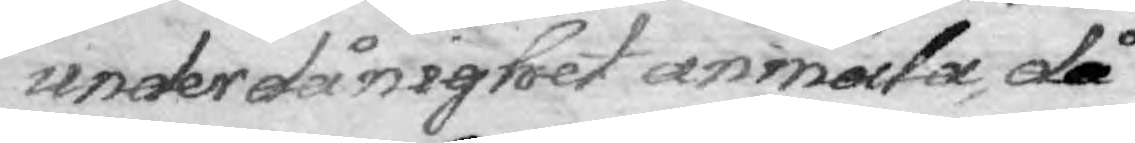underdånighet anmäla, då
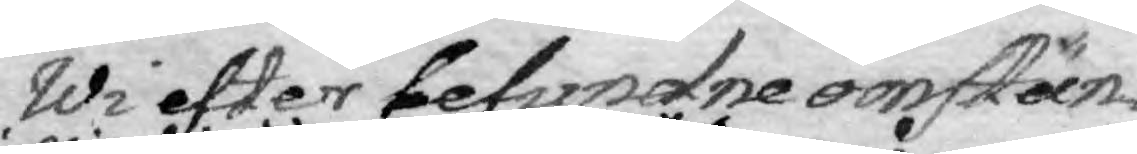Wi efter befundne omstän¬
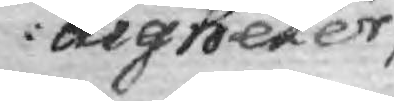digheter
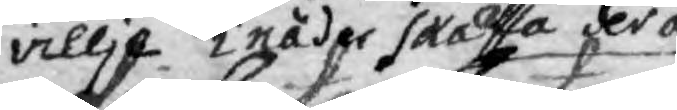willja i nåder skaffa derå
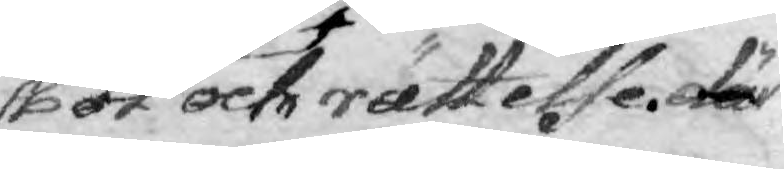bort och rättelse. där
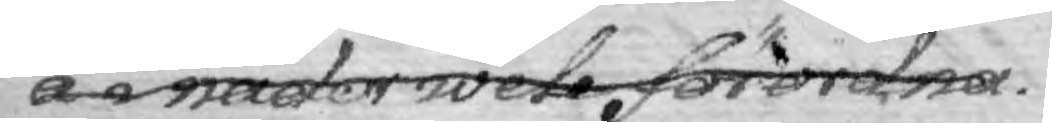å i näder wele förordnar.
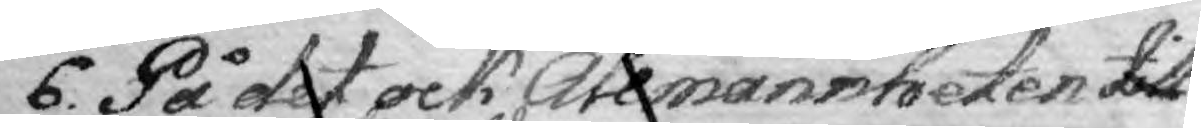6. På det ock Allmännheten till
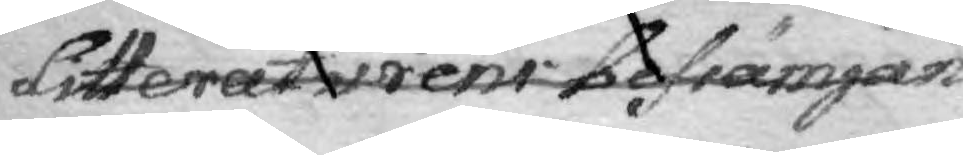Litteraturens befrämjan ei allenast må
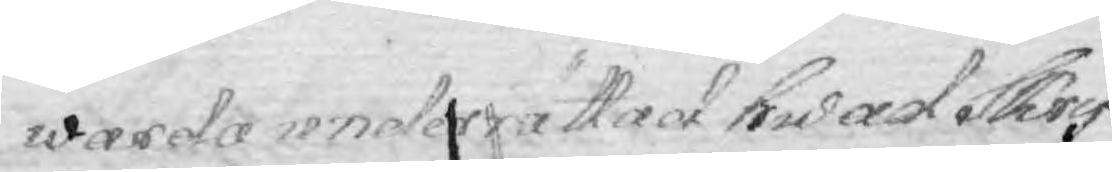warda underrättad hwad Skrif¬
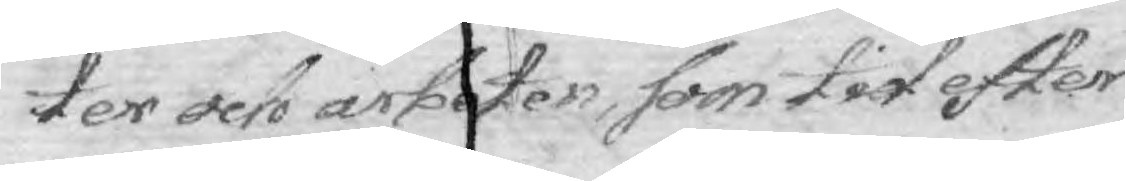ter och arbeten, som tid efter
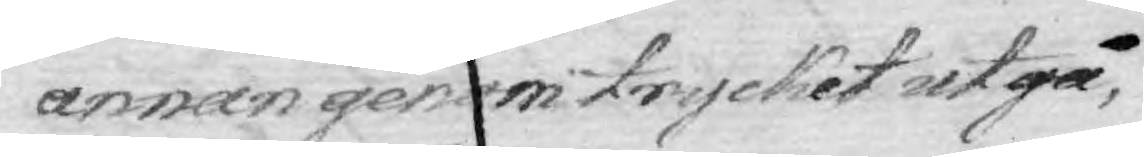annan genom trycket utgå,
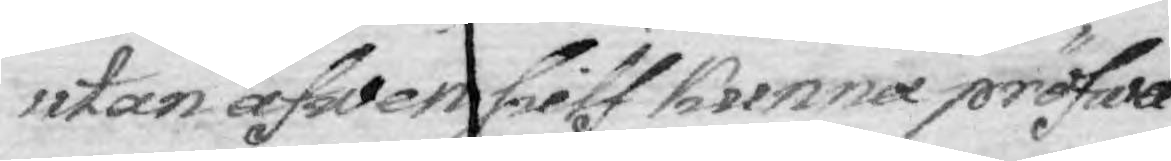utan äfwen sielf kunna pröfwa
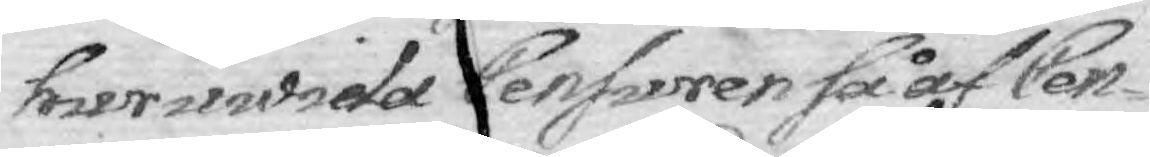huruwida Censuren så af Cen¬
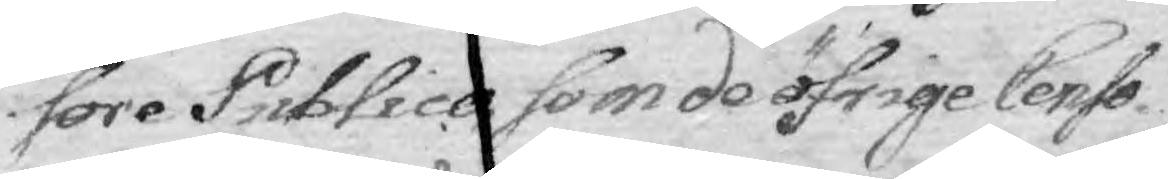sore Publico som de öfrige Censo¬
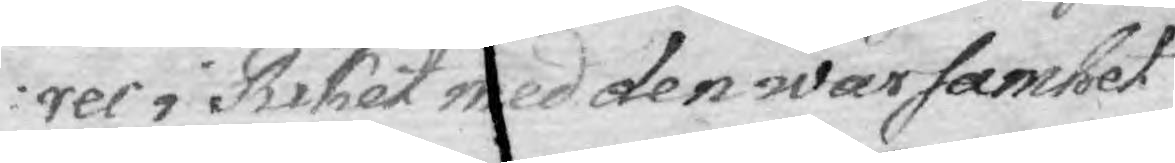rer i Riket med den warsamhet
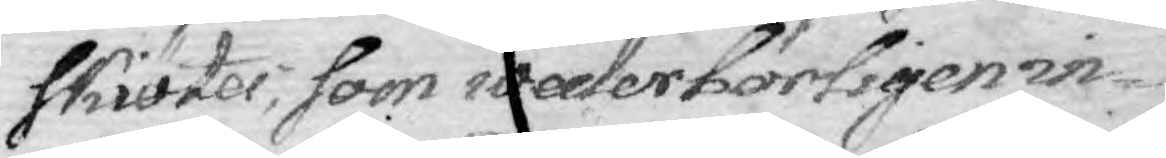skiötes, som wederbörligen in¬
